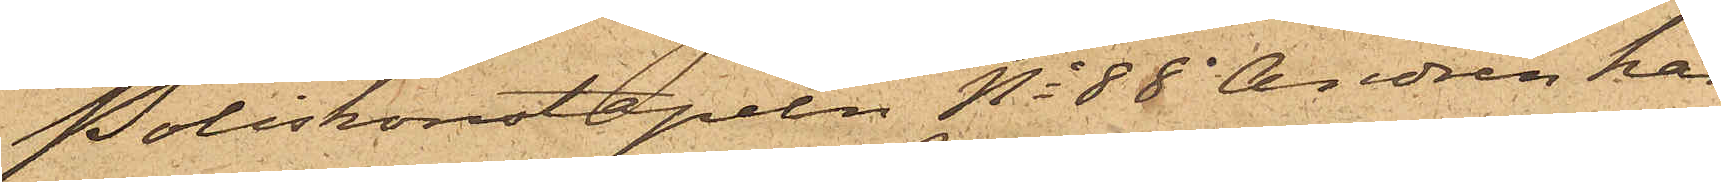Poliskonstapeln No 88 Andrén har
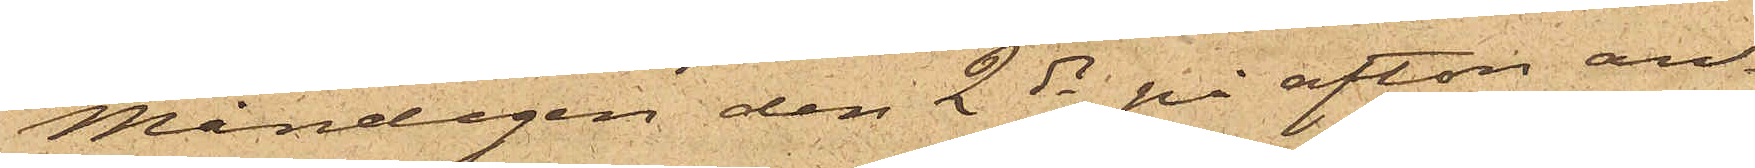Måndagen den 2 ds på afton an¬
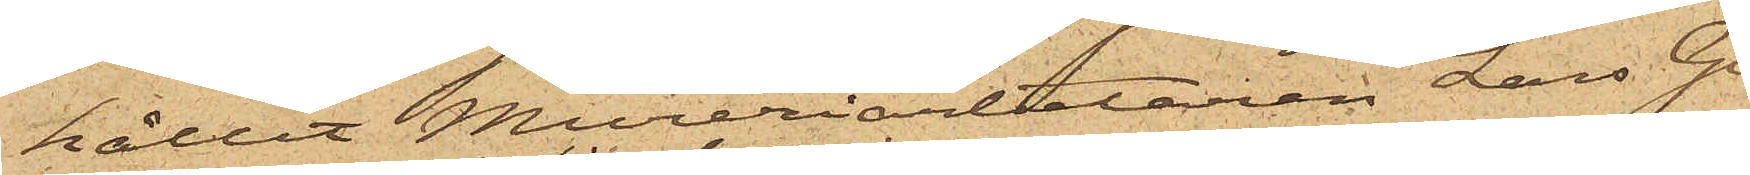hållit Mureriarbetaren Lars Gu¬
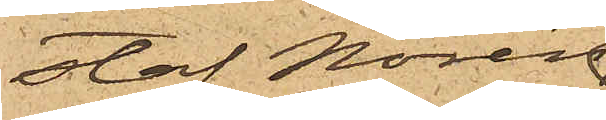staf Norén
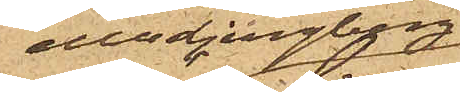eller Ljungberg,
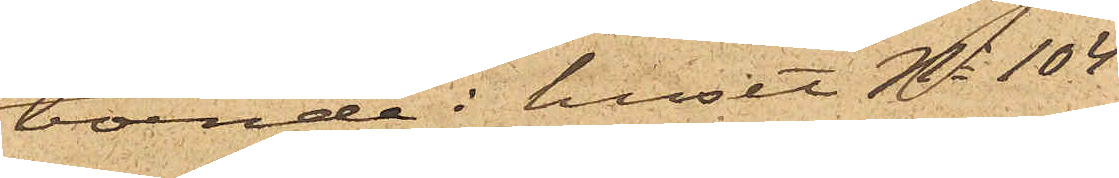boende i huset No 104
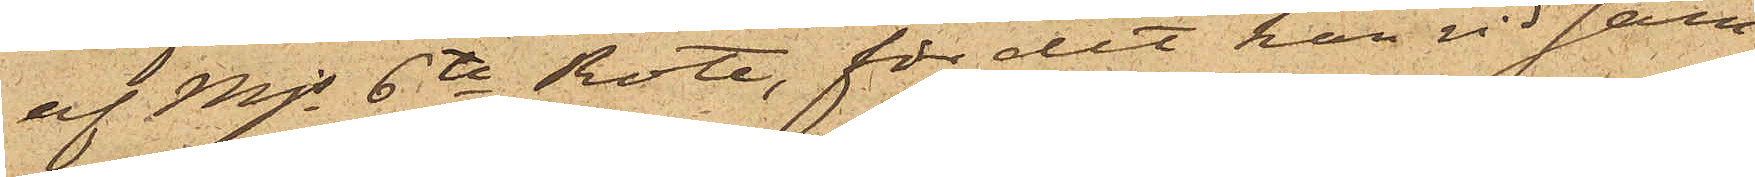af Mjs 6te Rote, för det han vid sam¬
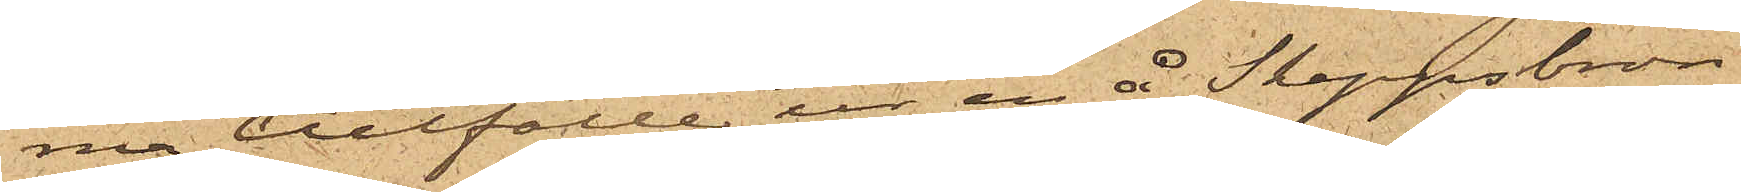ma tillfälle ur en å Skeppsbron
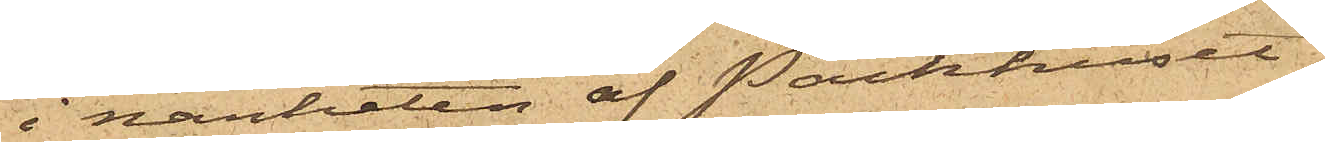i närheten af Packhuset
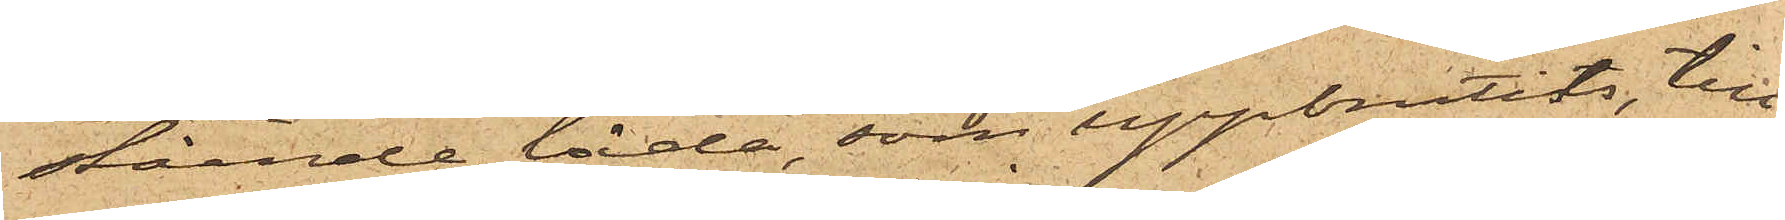stående låda, som uppbrutits, till¬
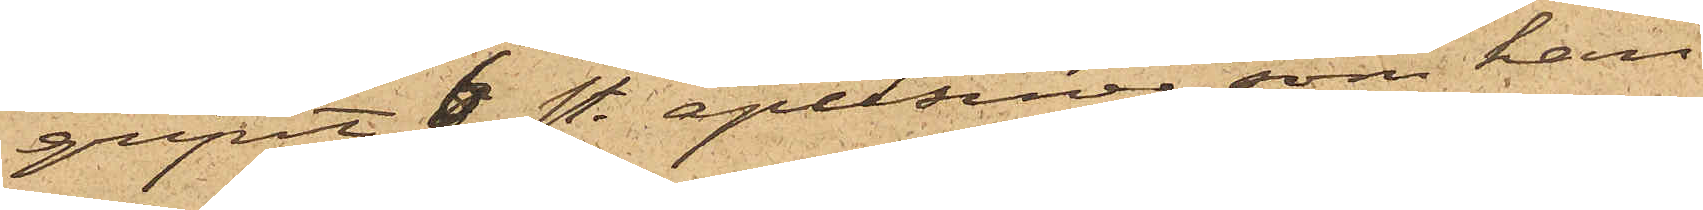gripit 6 st. apelsiner, som han
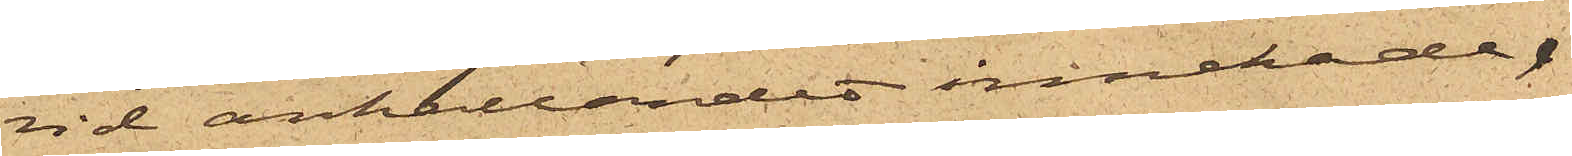vid anhållandet innehade.
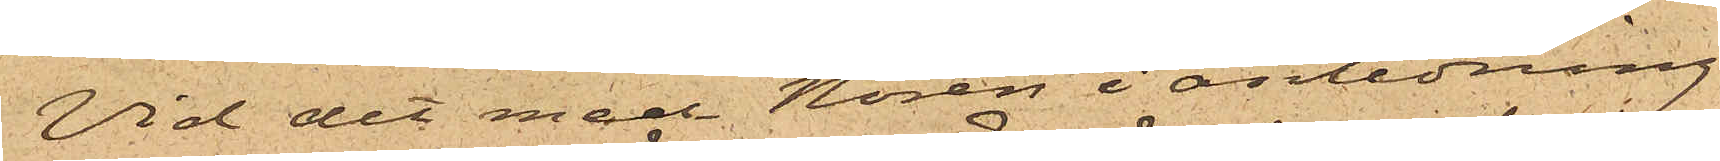Vid det med Norén i anledning
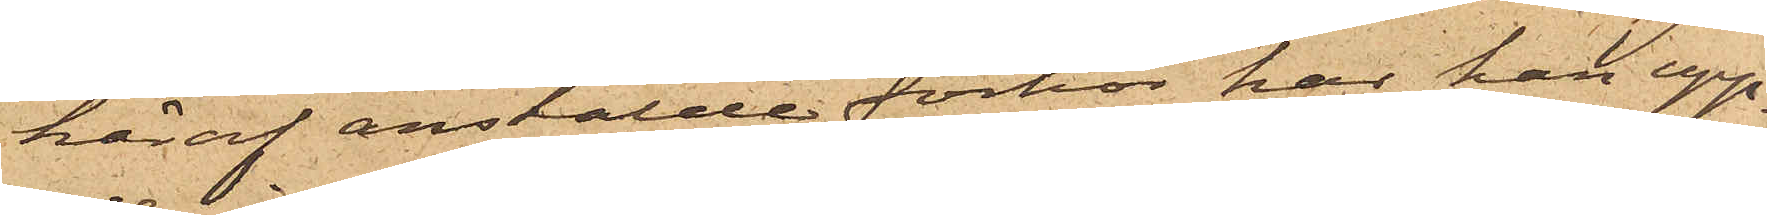häraf anstälde förhör har han upp¬
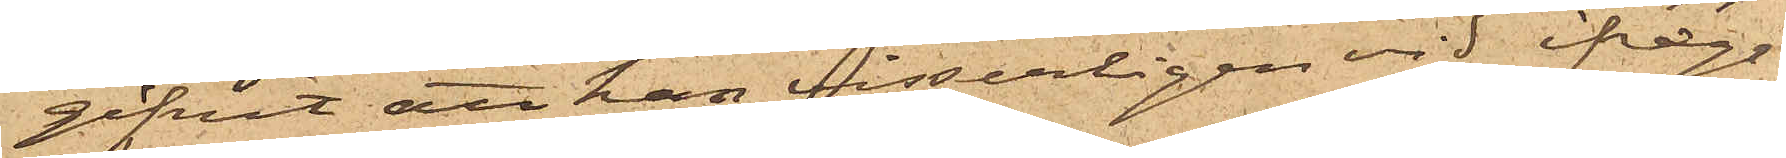gifvit att han visserligen vid ifråga¬
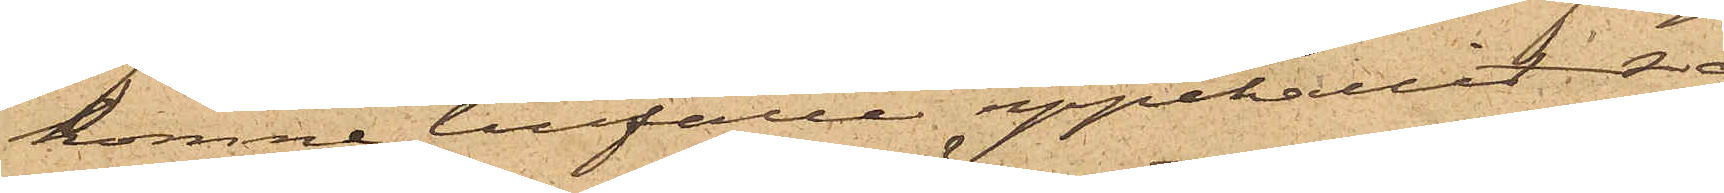komne tillfälle uppehållit sig
